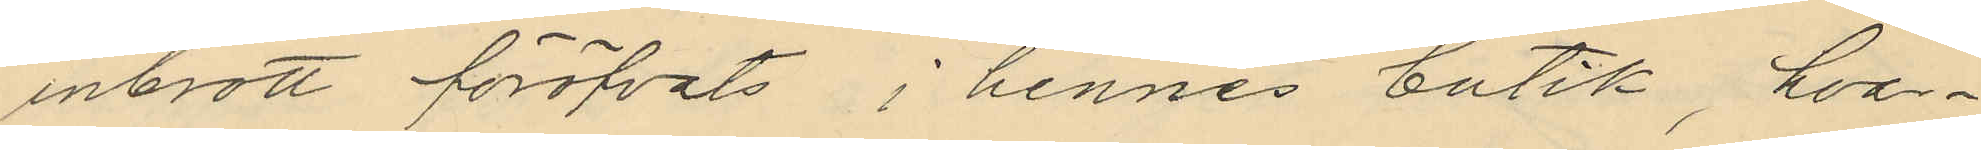inbrott föröfvats i hennes butik, hvar¬
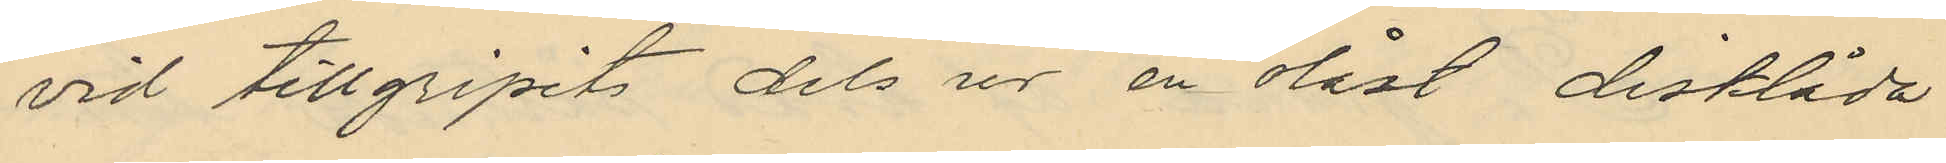vid tillgripit dels ur en olåst disklåda
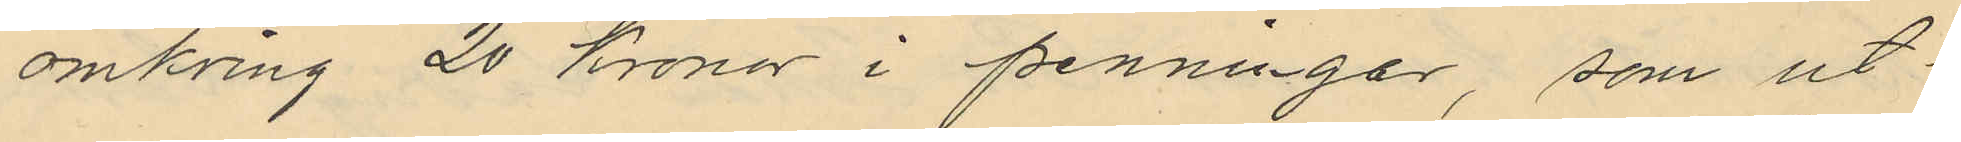omkring 20 kronor i penningar, som ut¬
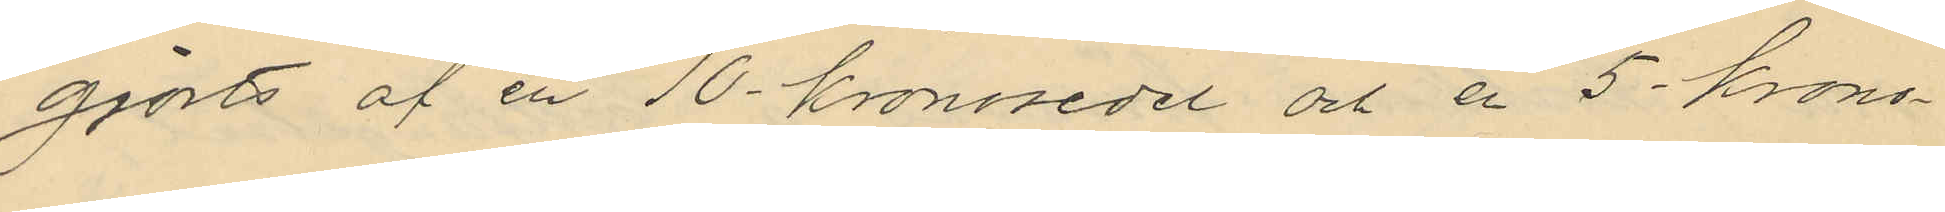gjorts af en 10-kronosedel och en 5 krono¬
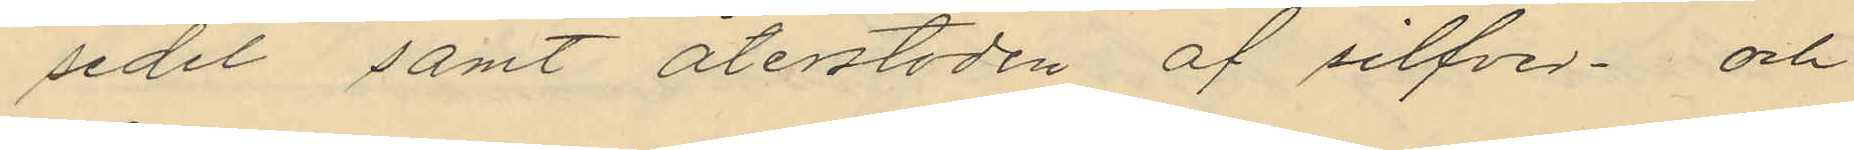sedel samt återstoden af silfver- och
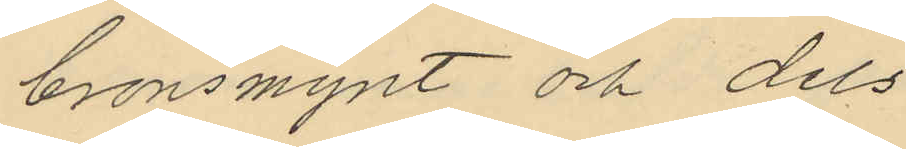bronsmynt och dels
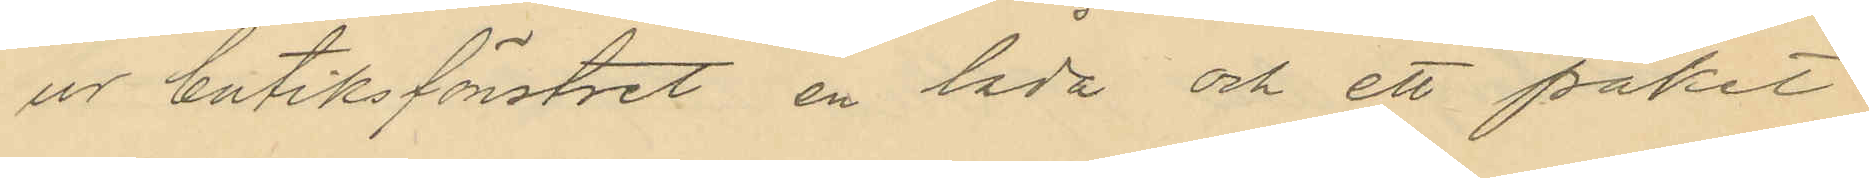ur butiksfönstret en låda och ett paket
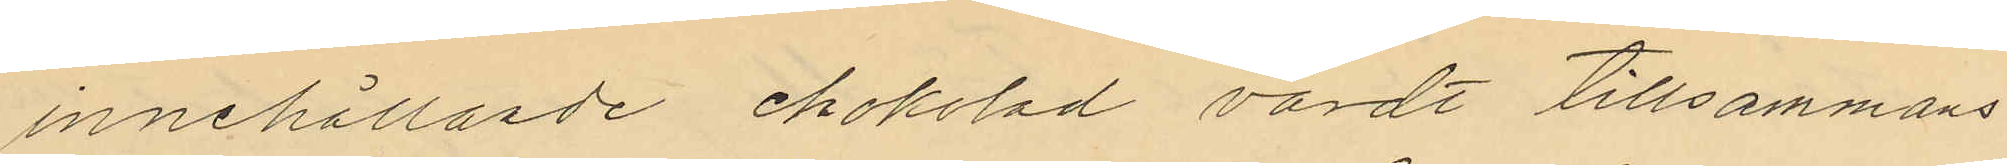innehållande chokolad värdt tillsammans
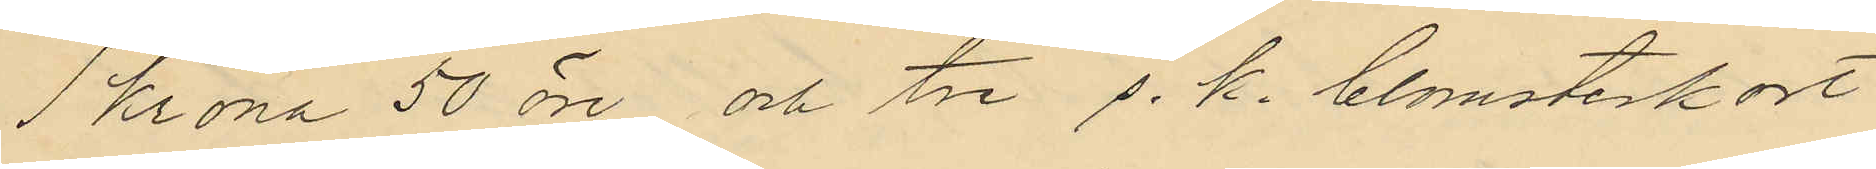1 Krona 50 öre och tre s. k. blomsterkort
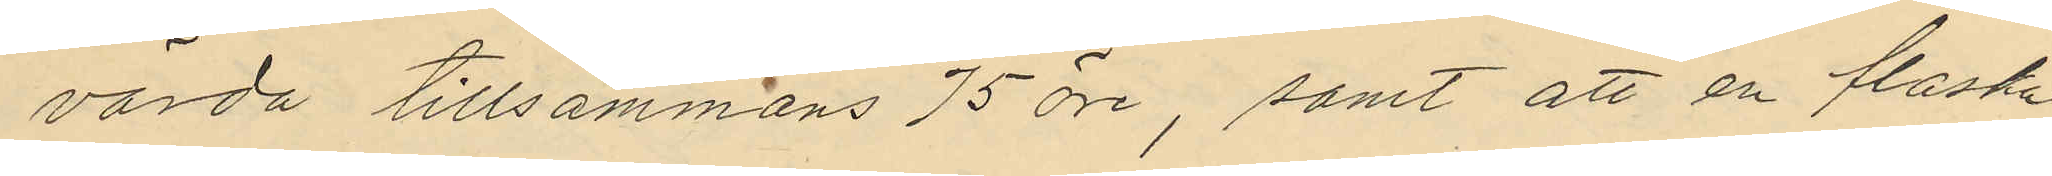värda tillsammans 75 öre, samt att en flaska
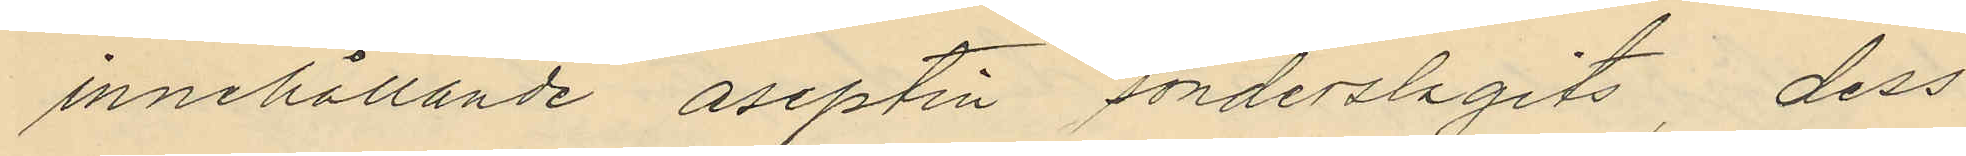innehållande aseptin sönderslagits, dess
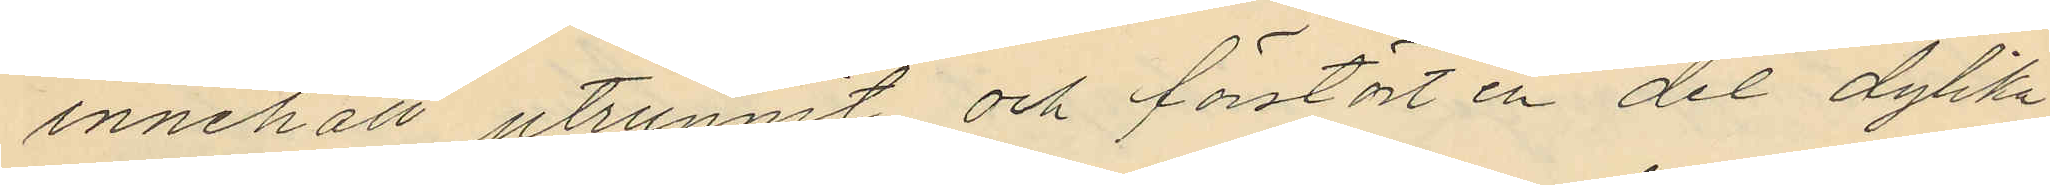innehåll utrunnit och förstört en del dylika
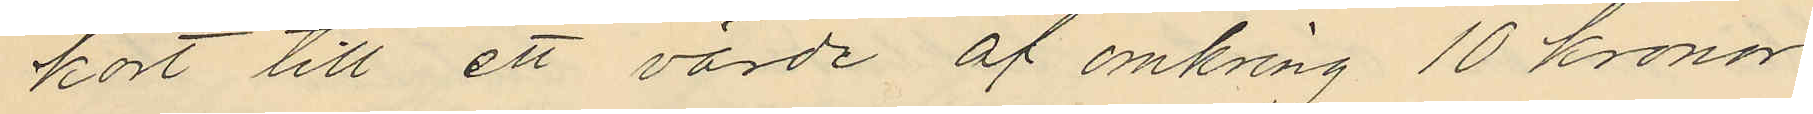kort till ett värde af omkring 10 kronor
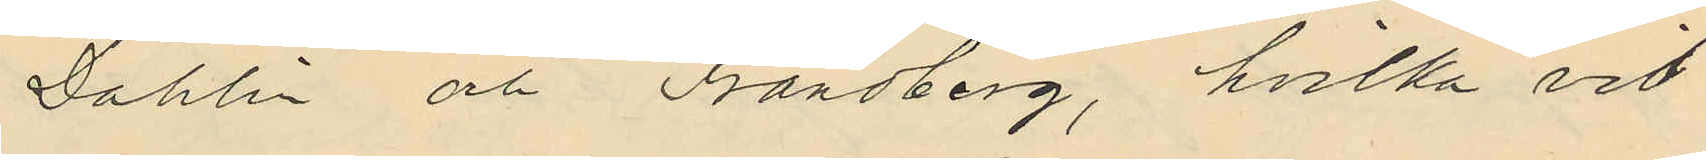Dahlin och Frändberg, hvilka vid
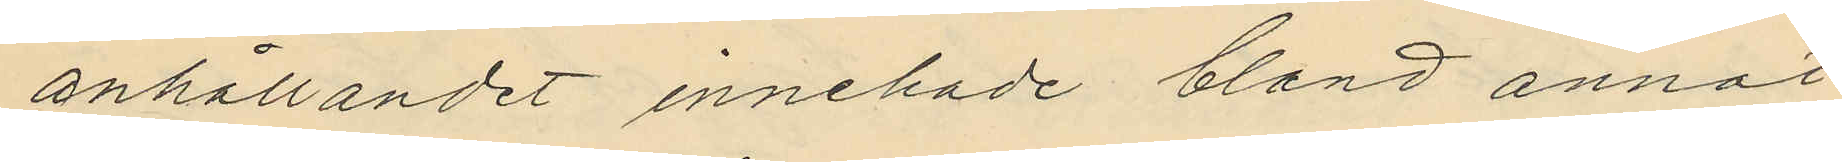anhållandet innehade bland annat
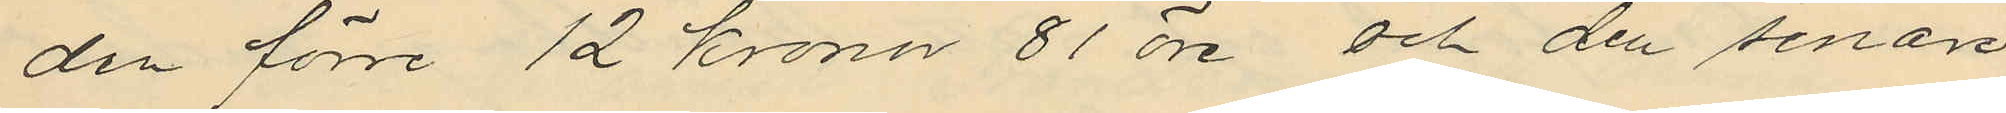den förre 12 Kronor 81 öre och den senare
